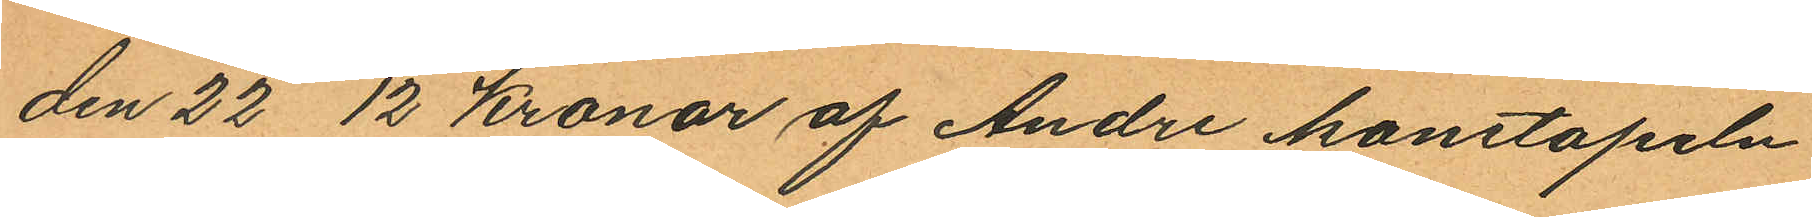den 22 12 Kronor af Andre konstapeln
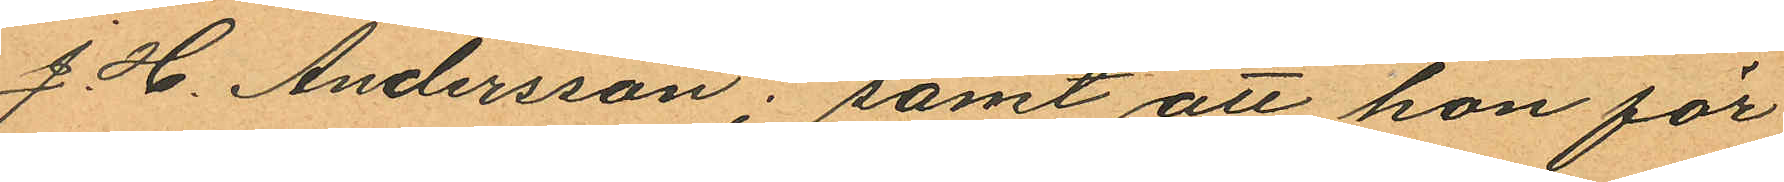J. H. Andersson; samt att hon för
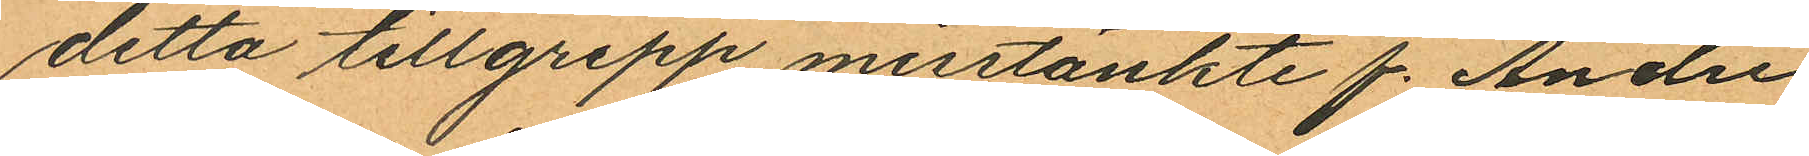detta tillgrepp misstänkte f. Andre
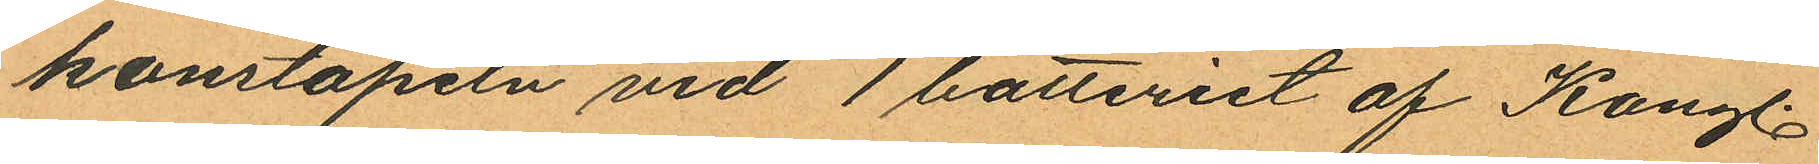konstapeln vid 1 batteriet af Kongl.
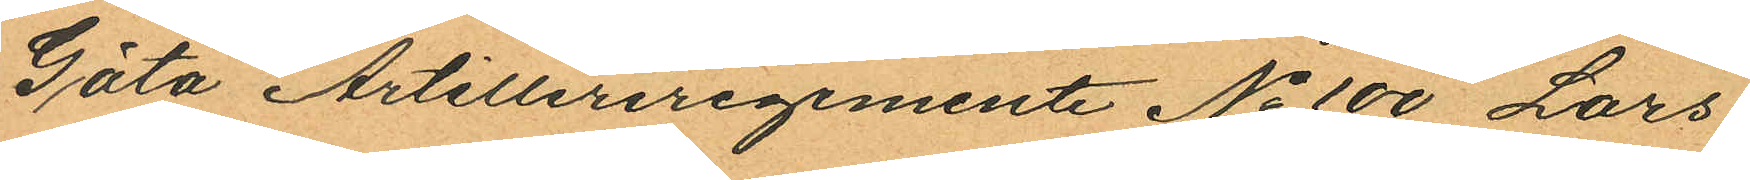Göta Artilleriregemente No 100 Lars
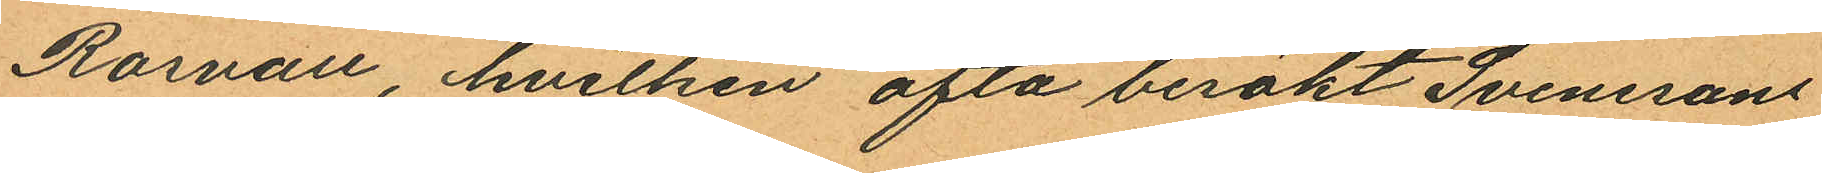Rosvall, hvilken ofta besökt Svenssons
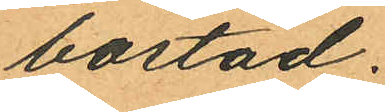bostad.
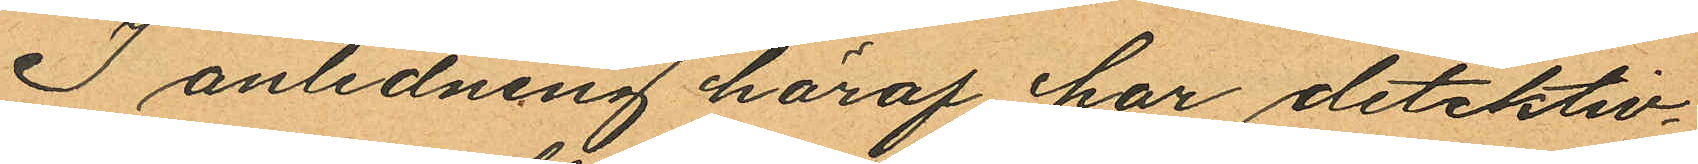I anledning häraf har detektiv¬
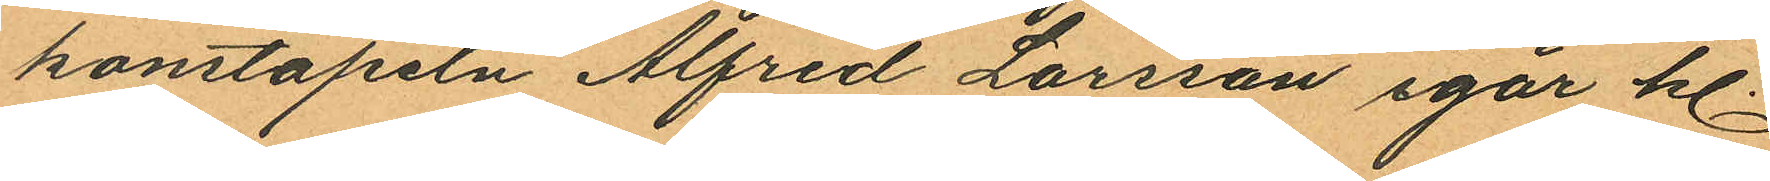konstapeln Alfred Larsson igår kl.
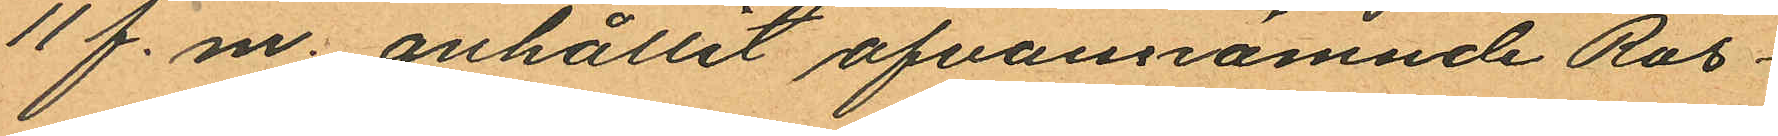11 f. m. anhållit ofvannämnde Ros¬
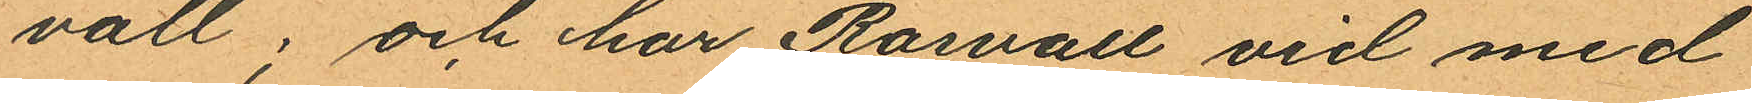vall; och har Rosvall vid med
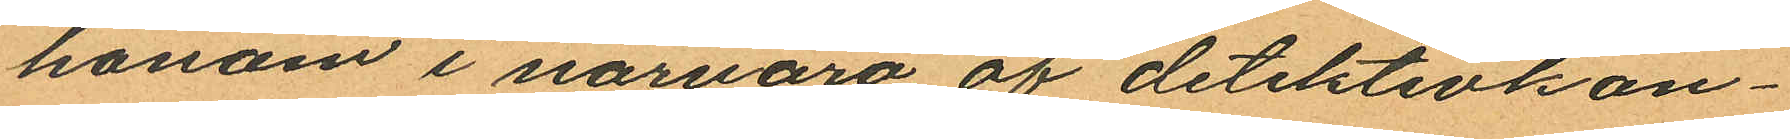honom i närvaro af detektivkon¬
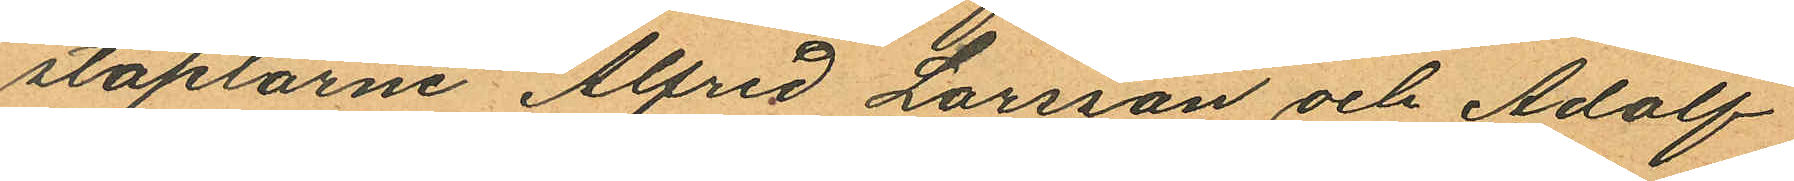staplarne Alfred Larsson och Adolf
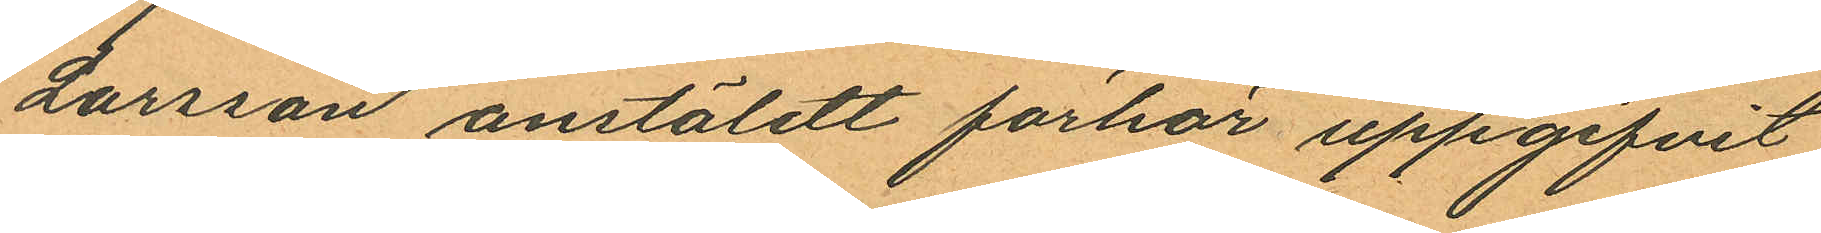Larsson anstäldt förhör uppgifvit
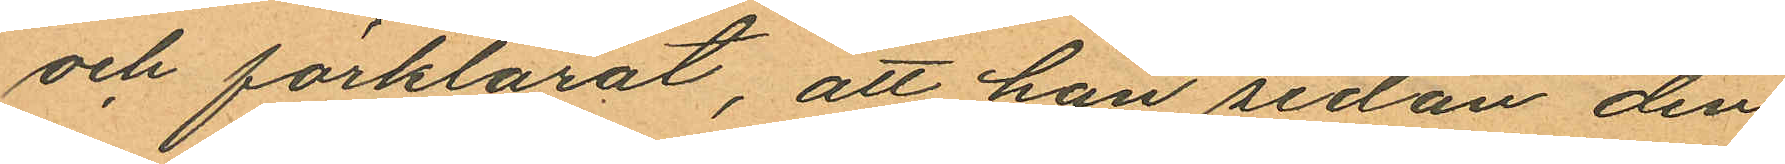och förklarat, att han sedan den
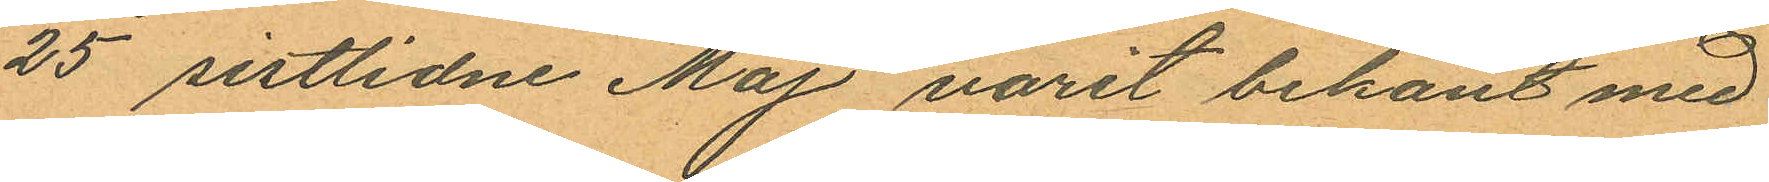25 sistlidne Maj varit bekant med
